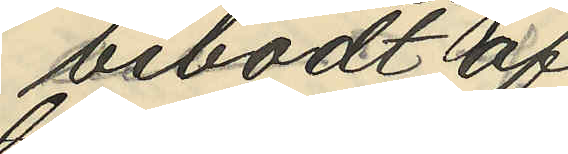bebodt af
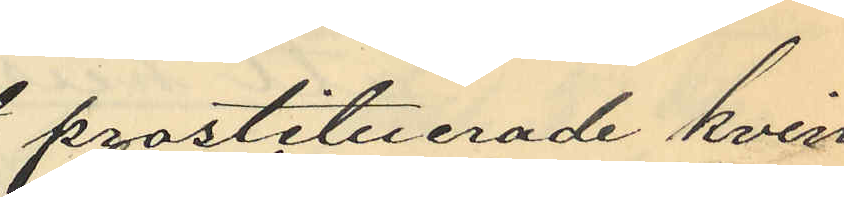prostituerade kvin¬
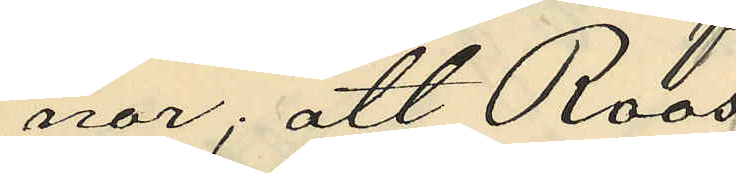nor; att Roos
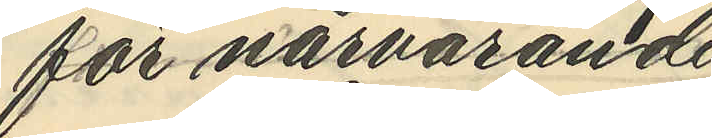för närvarande
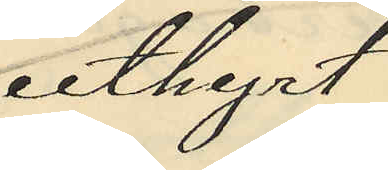uthyrt
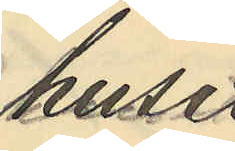huset
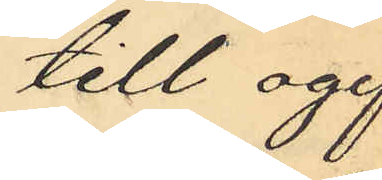till ogif¬
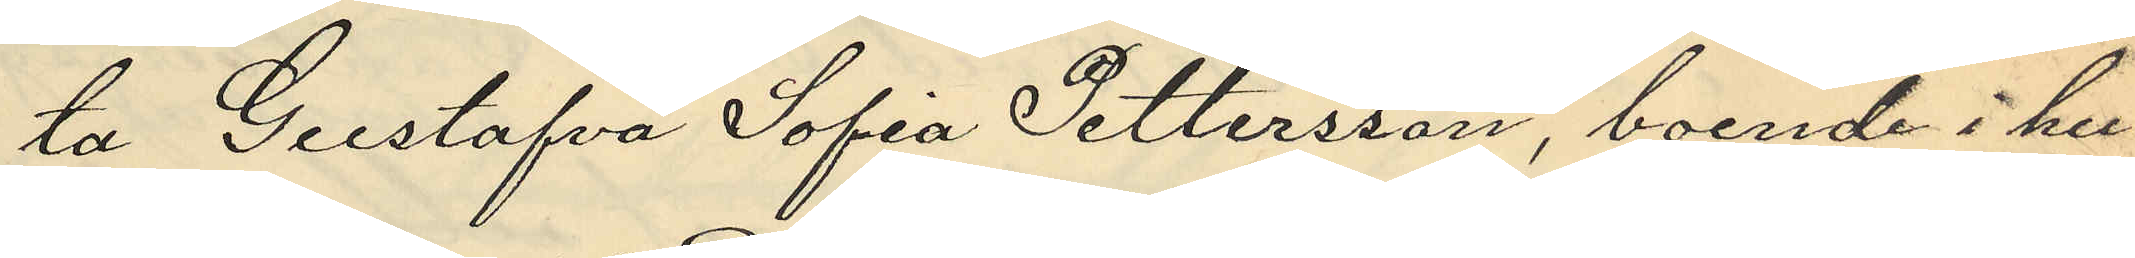ta Gustafva Sofia Pettersson, boende i hu¬
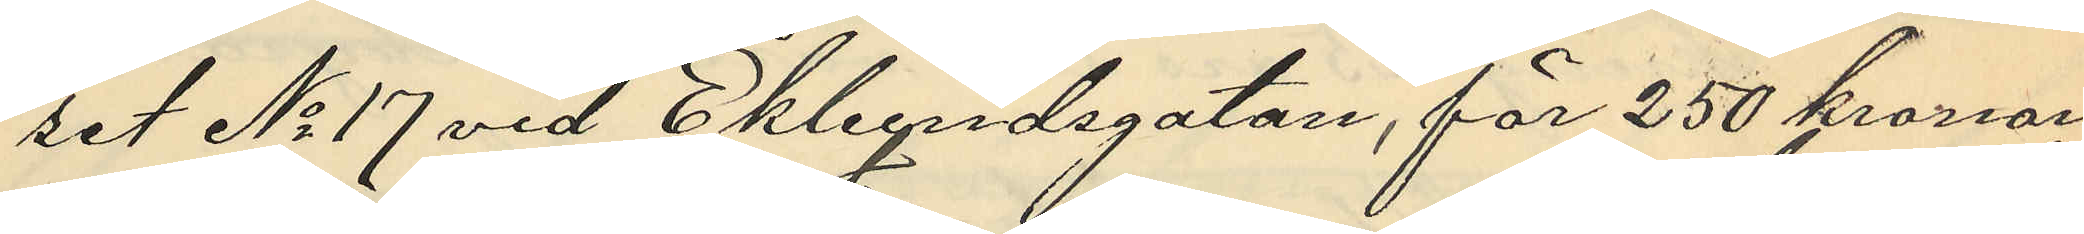set No 17 vid Ekelundsgatan, för 250 kronor
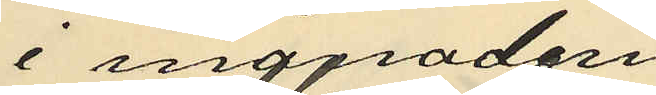i månaden
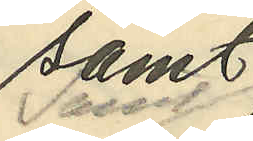samt
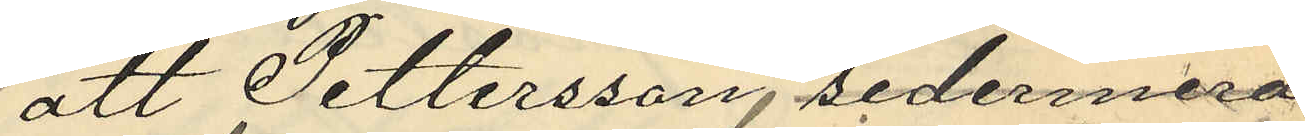att Pettersson, sedermera
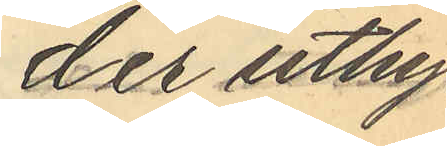der uthyrt
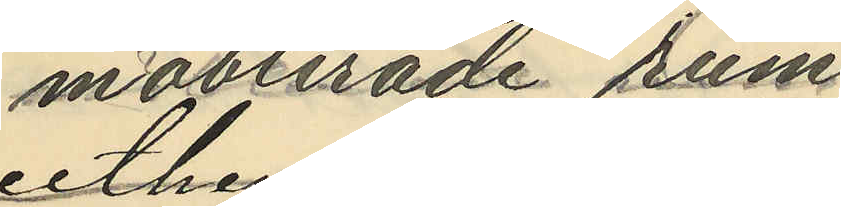möblerade rum
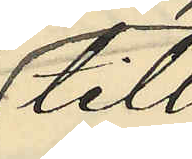till
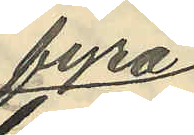fyra
